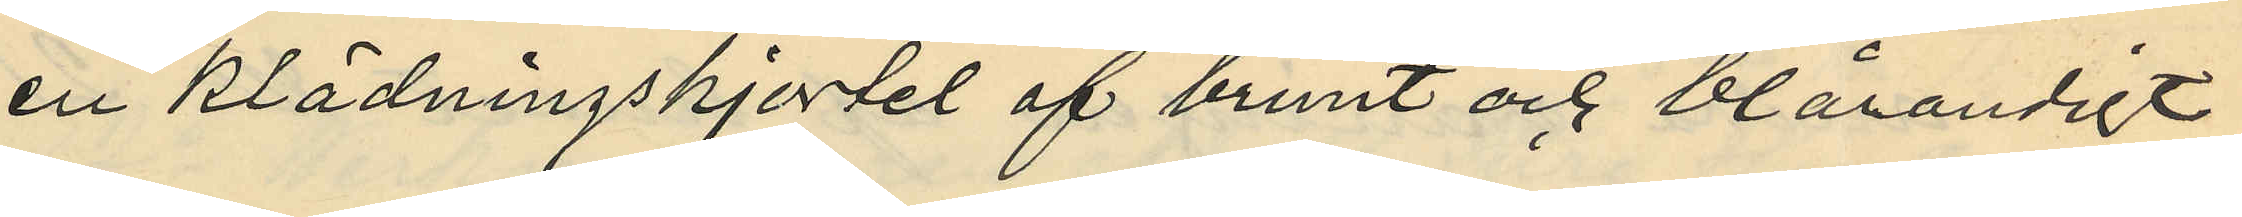en klädningskjortel af brunt och blårandigt
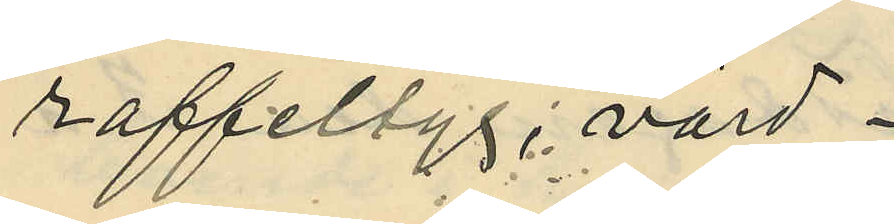raffeltyg; värd
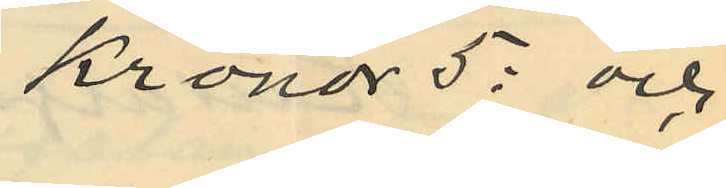Kronor 5: och
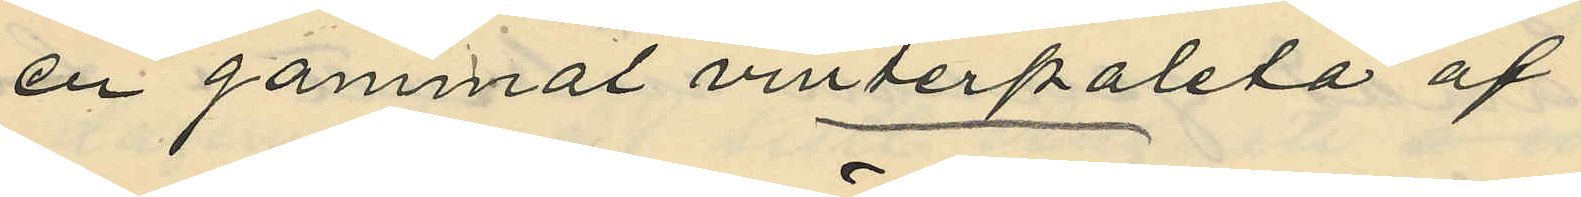en gammal vinterpaletå af
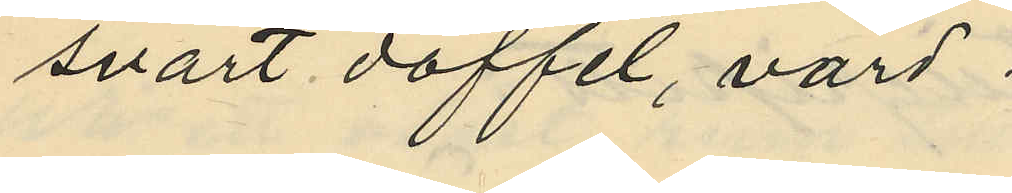svart doffel, värd
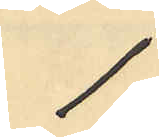1:
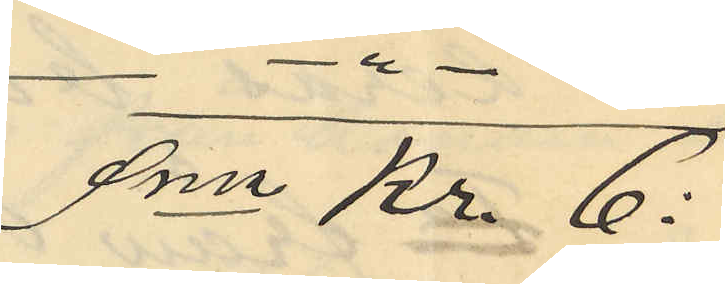Sma Kr. 6:
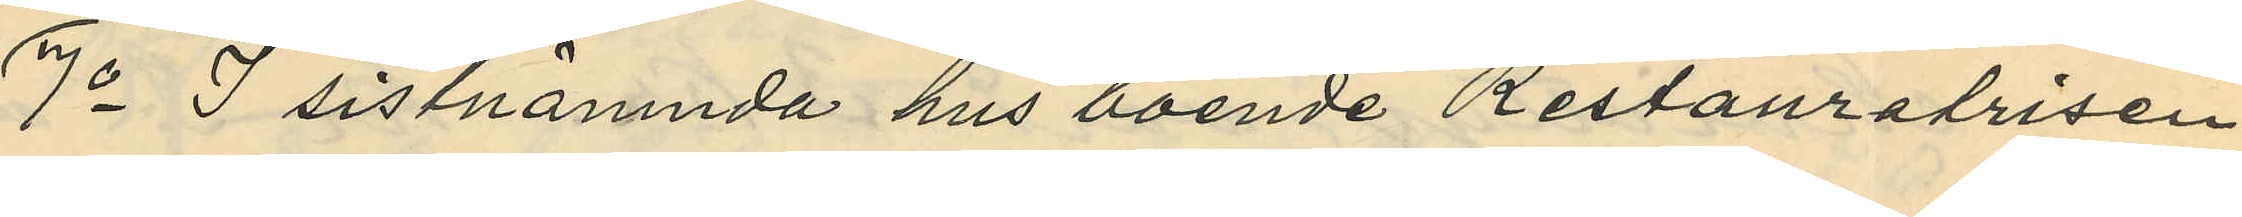7o I sistnämnda hus boende Restauratrisen
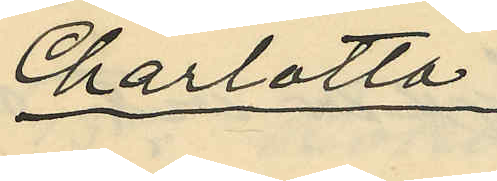Charlotta
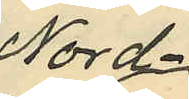Nord¬
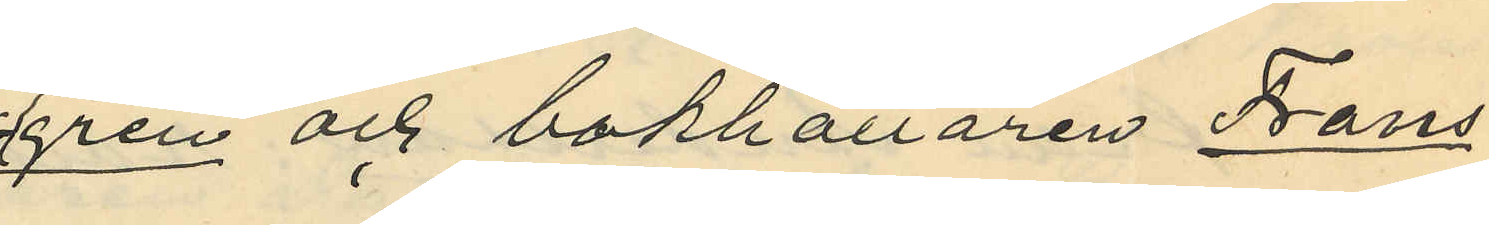gren och bokhållaren Frans
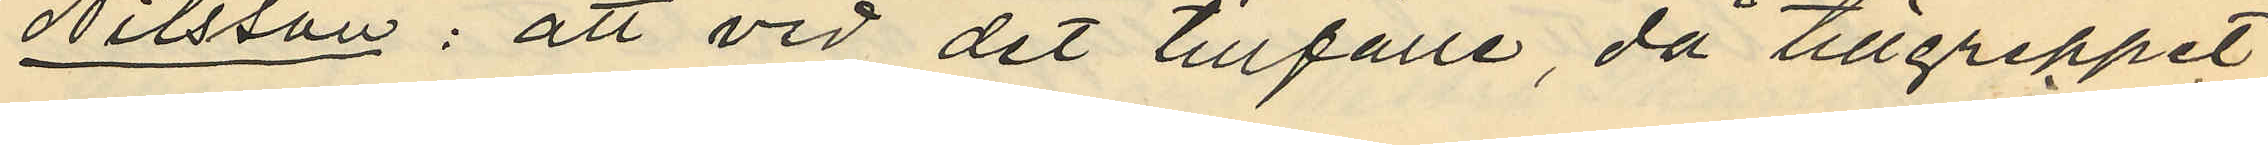Nilsson: att vid det tillfälle, då tillgreppet
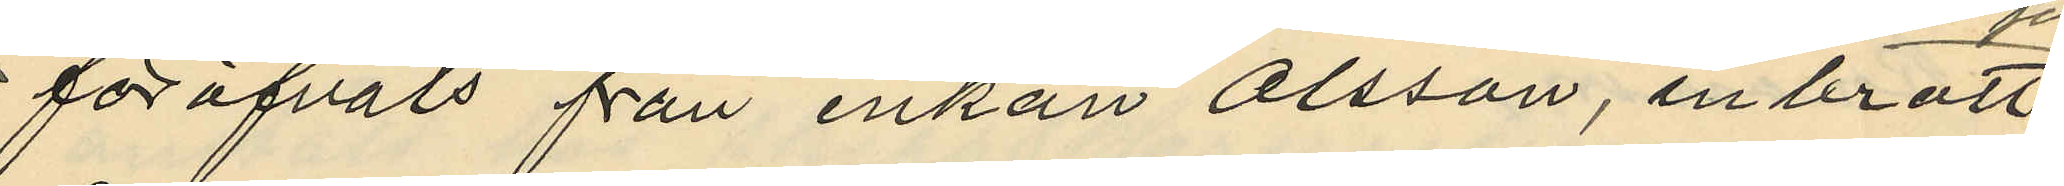föröfvats från enkan Olsson, inbrott
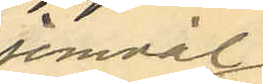jemväl
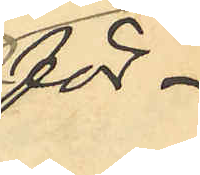för¬
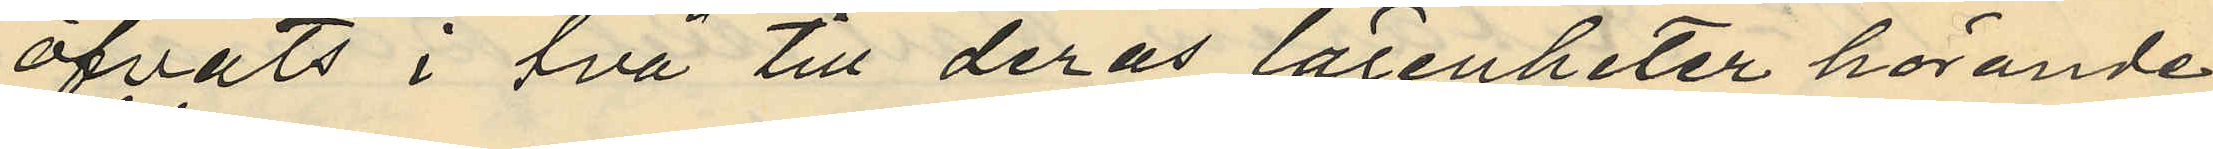öfvats i två till deras lägenheter hörande
